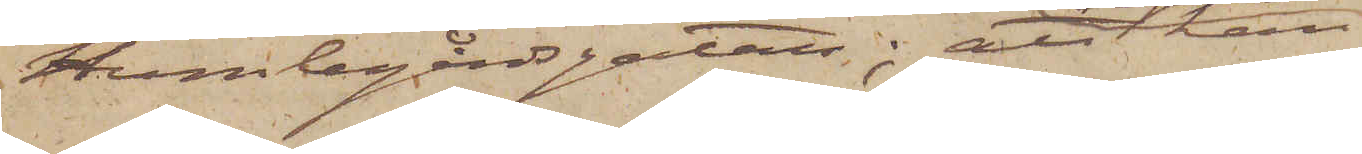Humlegårdsgatan; att han
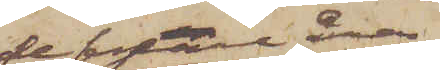de senare åren
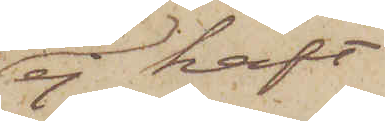ej haft
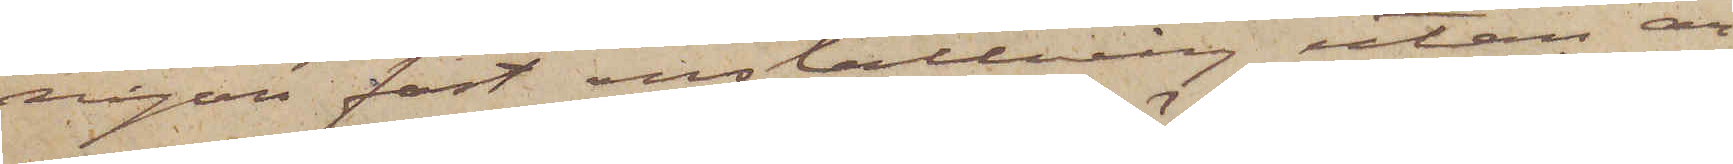någon fast anställning utan ar¬
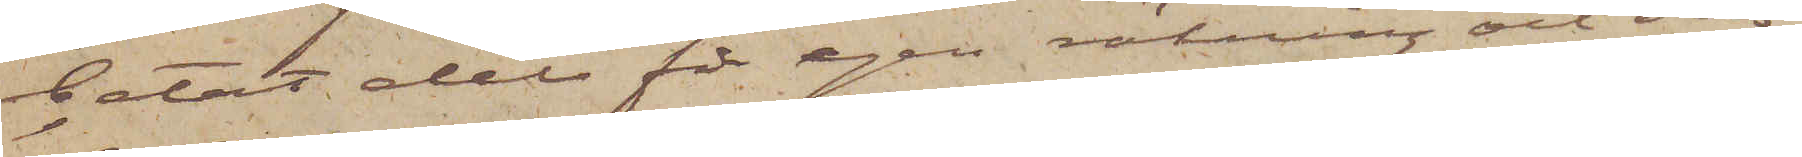betat dels för egen räkning att dels
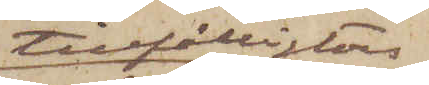tillfälligtvis
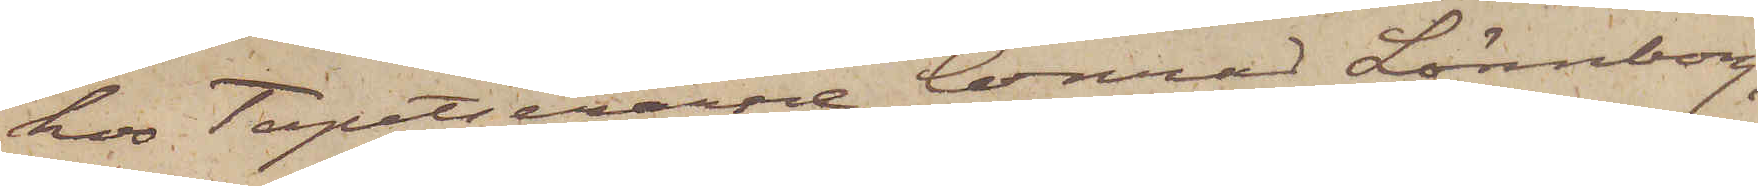hos Tapetserarne Conrad Lörnborg,
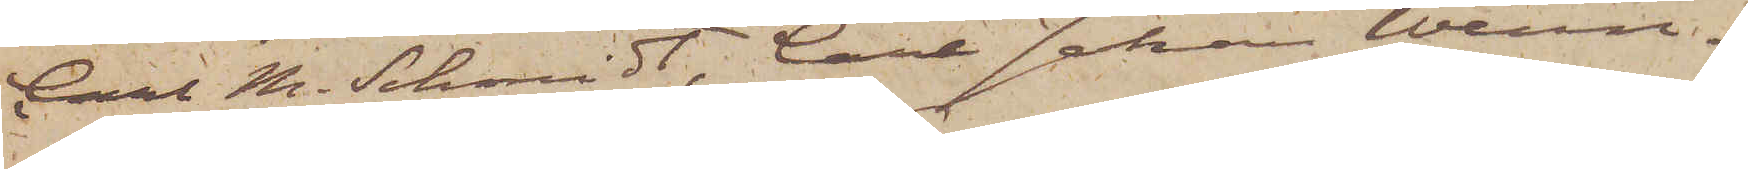Carl M. Schmidt, Carl Johan Wern¬
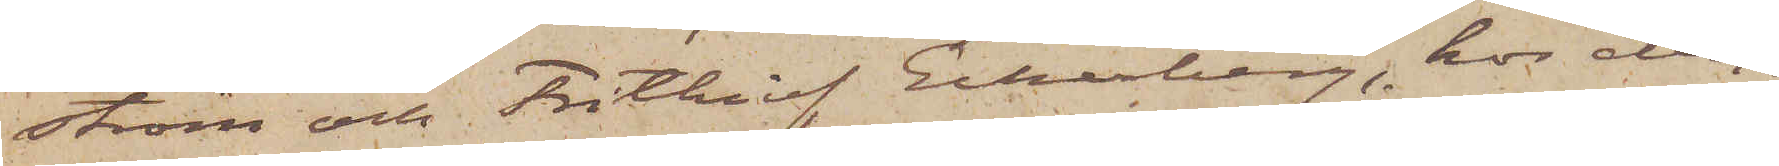ström och Frithiof Eckerberg, hos den¬
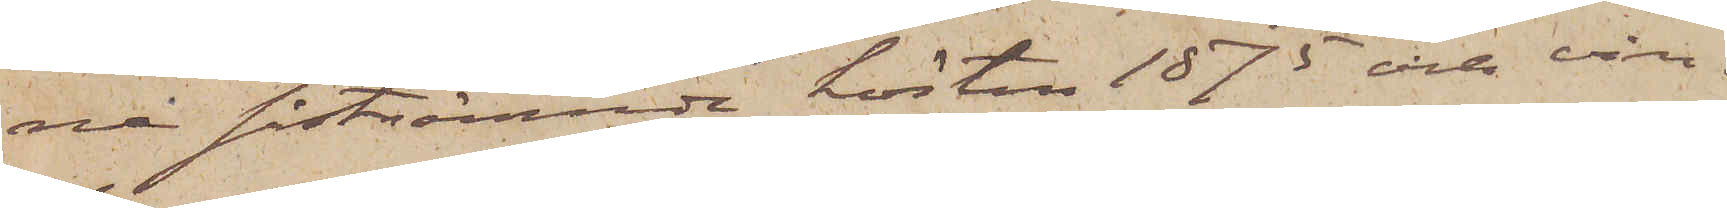ne sistnämnde hösten 1875 och vin¬
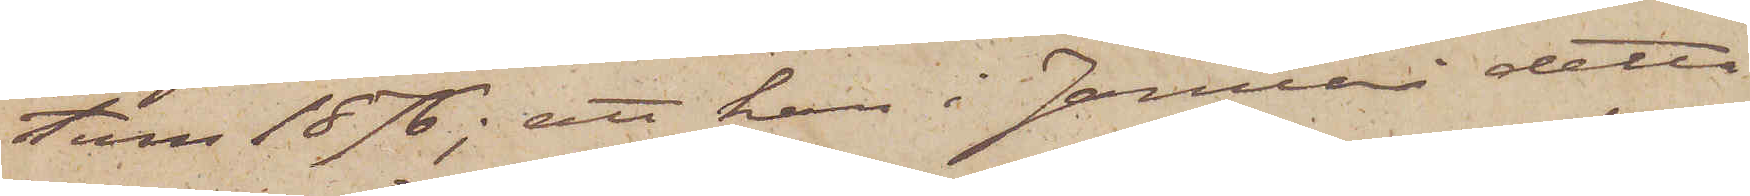tern 1876; att han i Januari detta
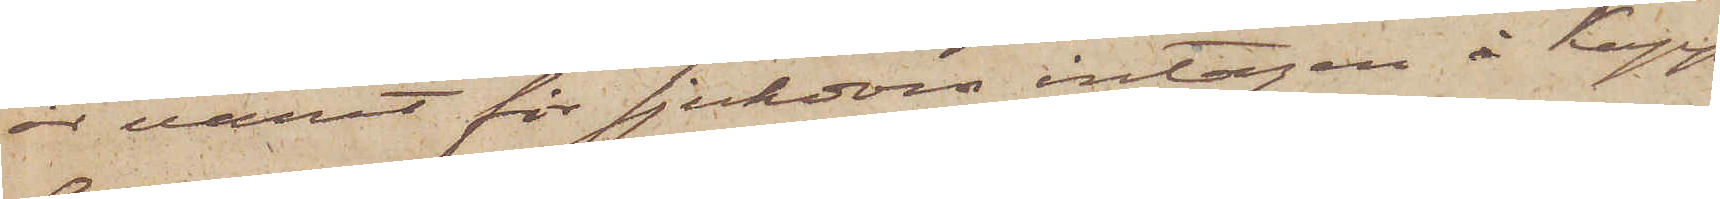år varit för sjukdom intagen å kopp¬
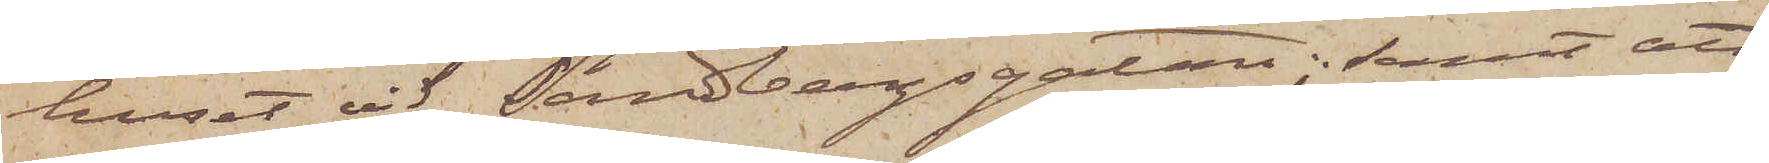huset vid Sandbergsgatan; samt att
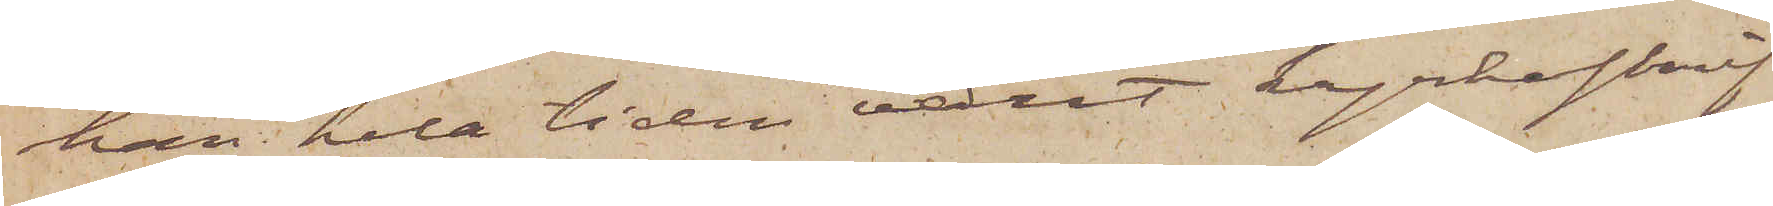han hela tiden varit kyrkoskrif¬
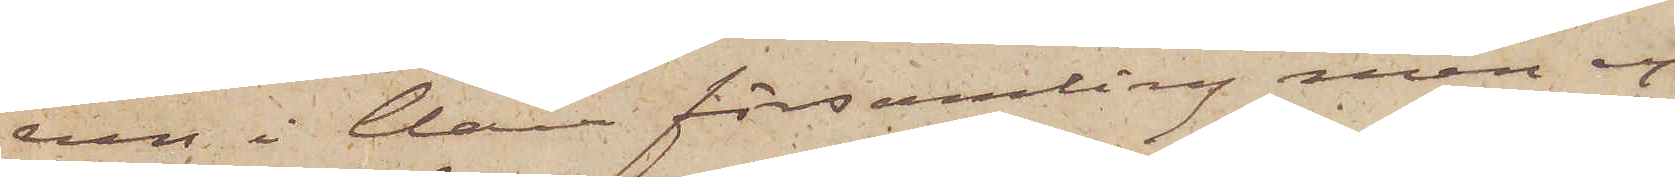ven i Clara församling men ej
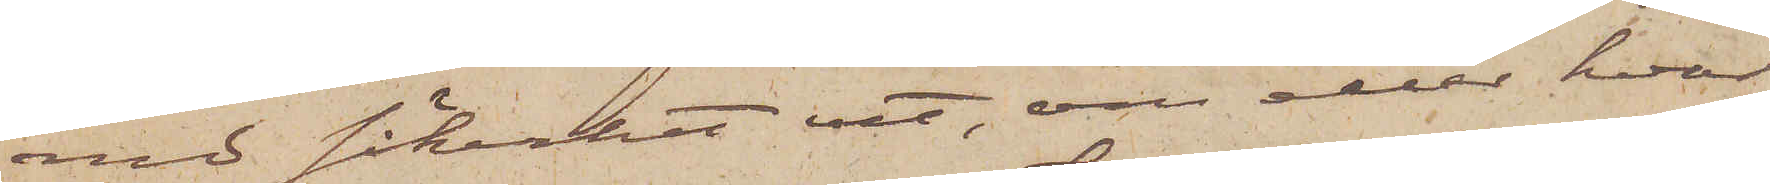med säkerhet vet, om eller, hvar
